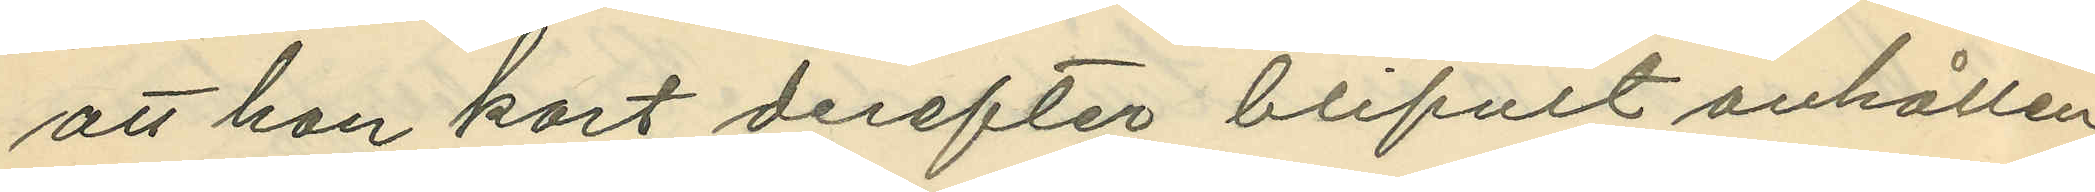att hon kort derefter blifvit anhållen
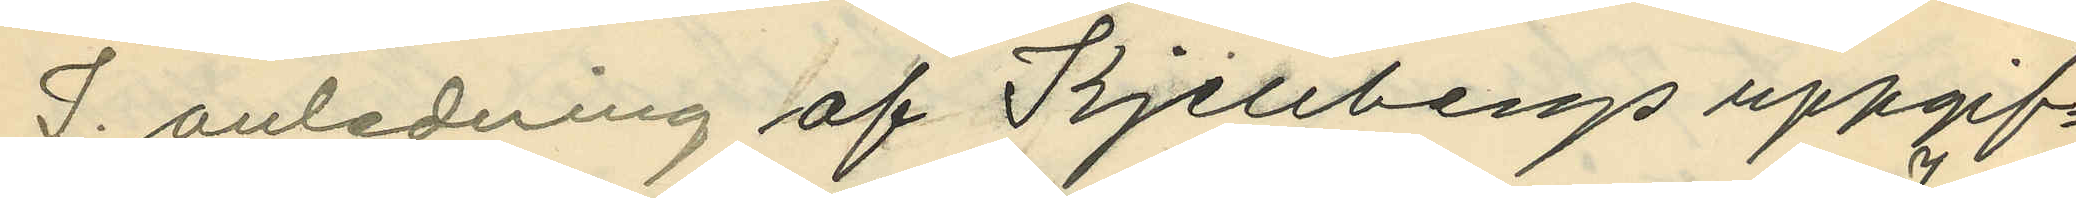I. anledning af Kjellbergs uppgif¬
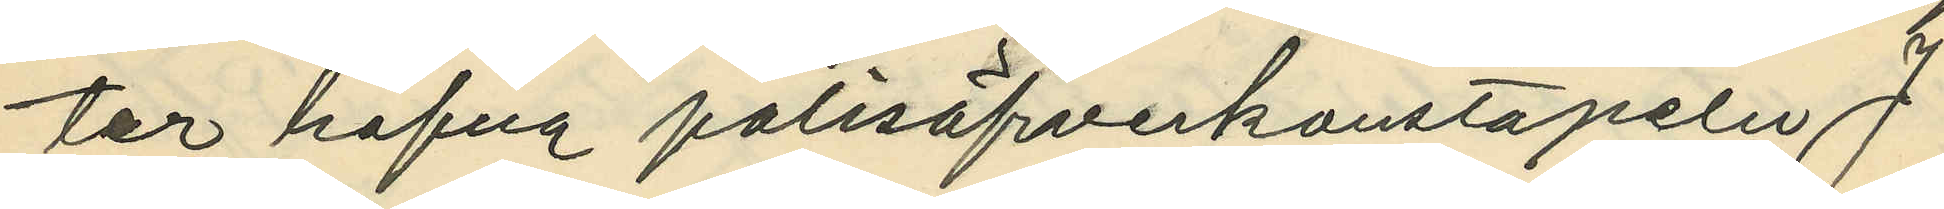ter hafva polisöfverkonstapeln J.
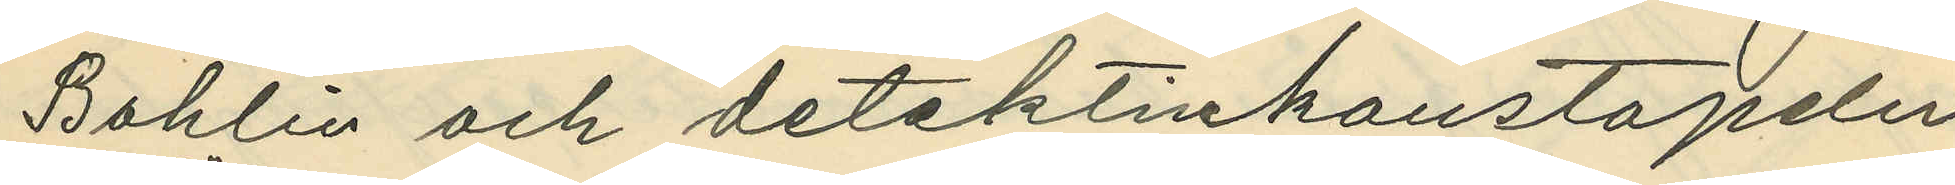Bohlin och detektivkonstapeln
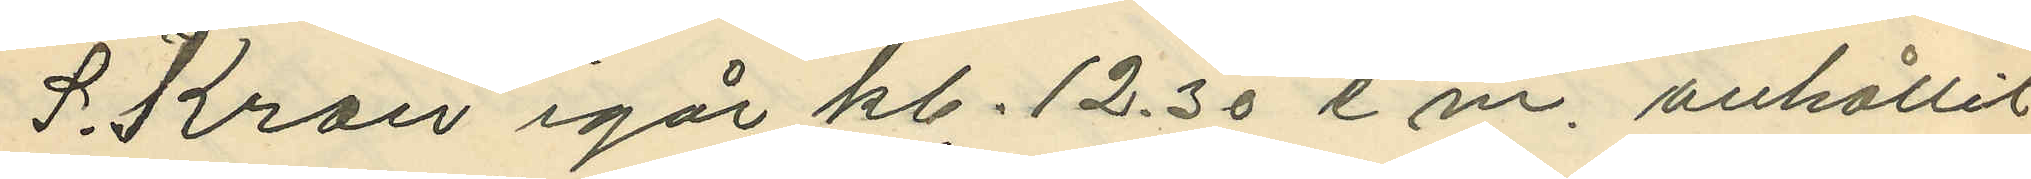S. Kron igår kl. 12.30 e.m. anhållit
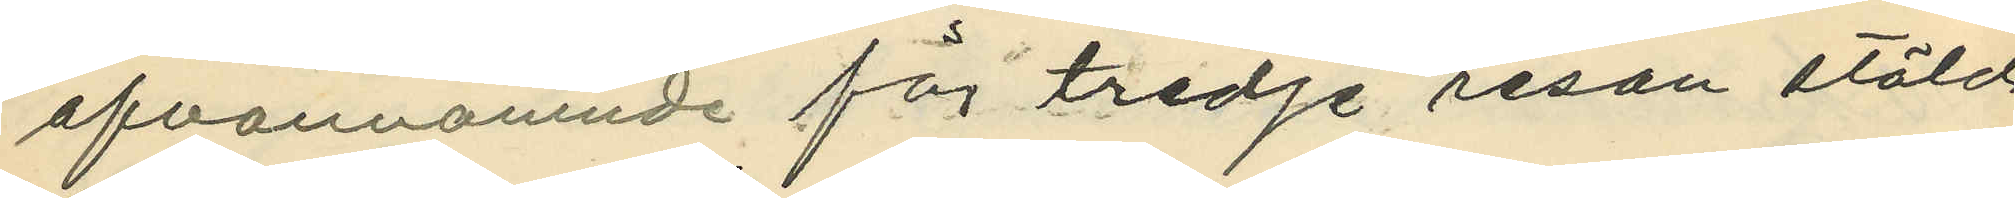ofvannämnde för tredje resan stöld
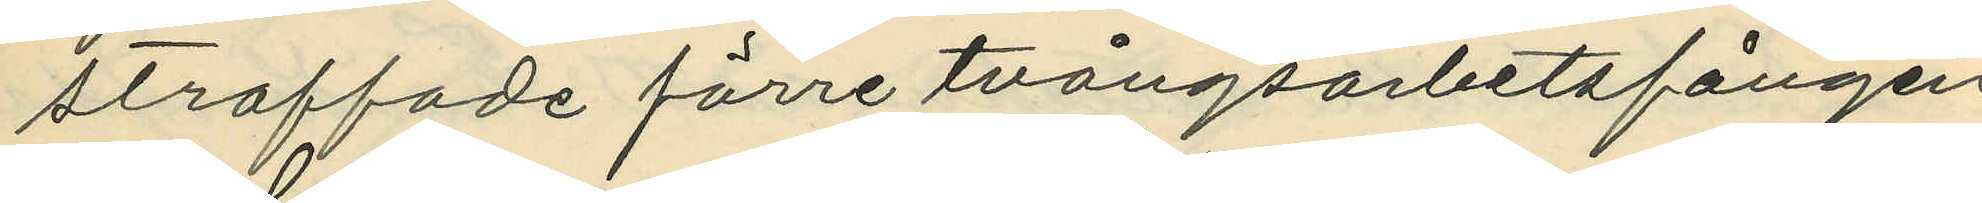straffade förre tvångsarbetsfången
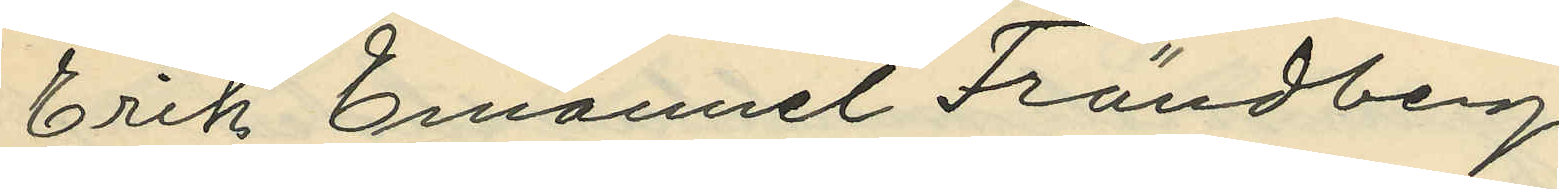Erik Emanuel Frändberg.
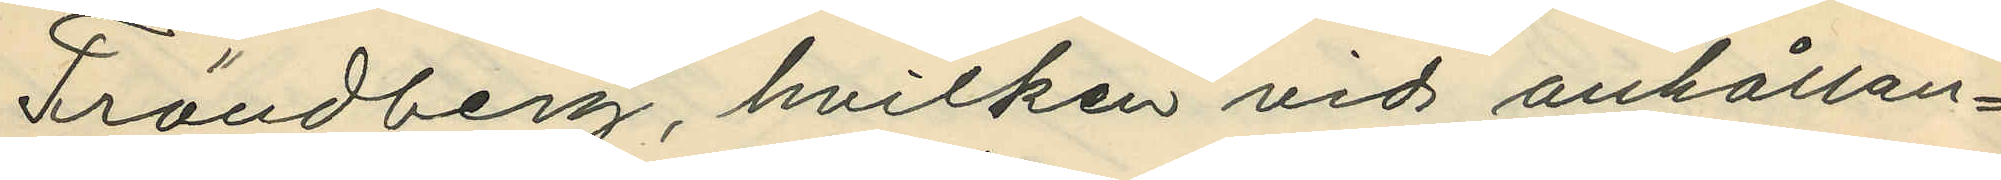Frändberg, hvilken vid anhållan¬
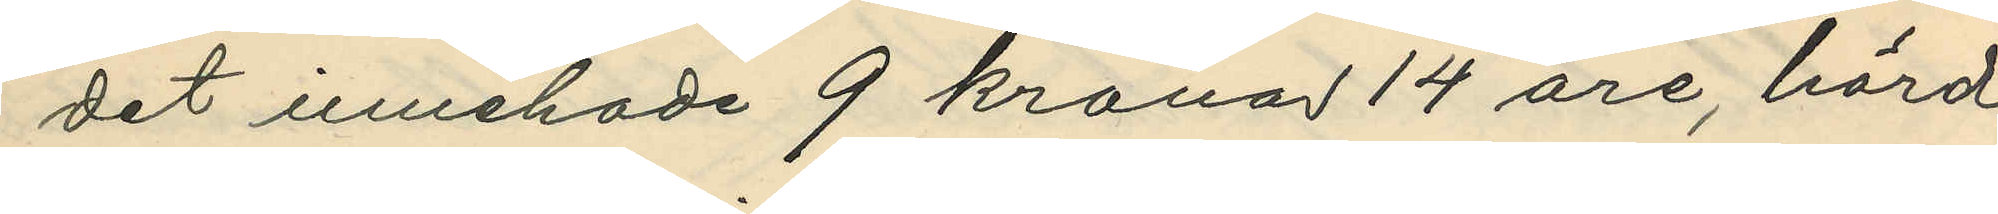det innehade 9 kronor 14 öre, hörd
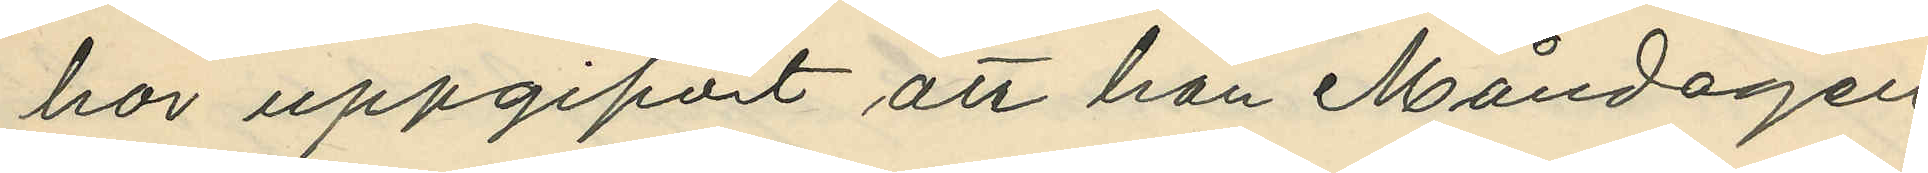har uppgifvit att han Måndagen
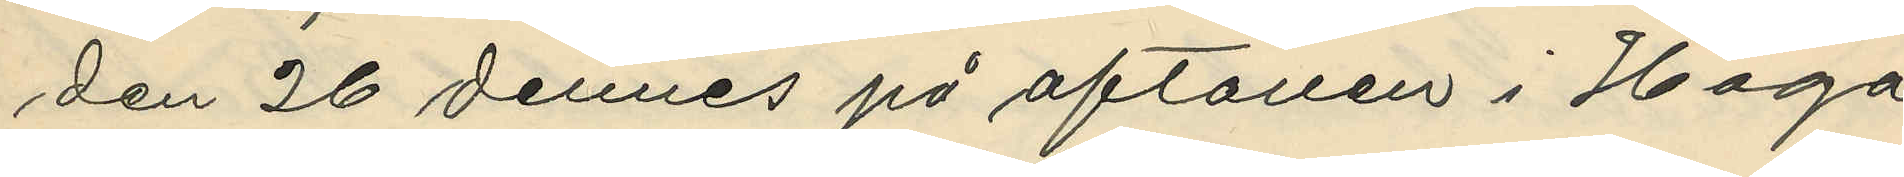den 26 dennes på aftonen i Haga
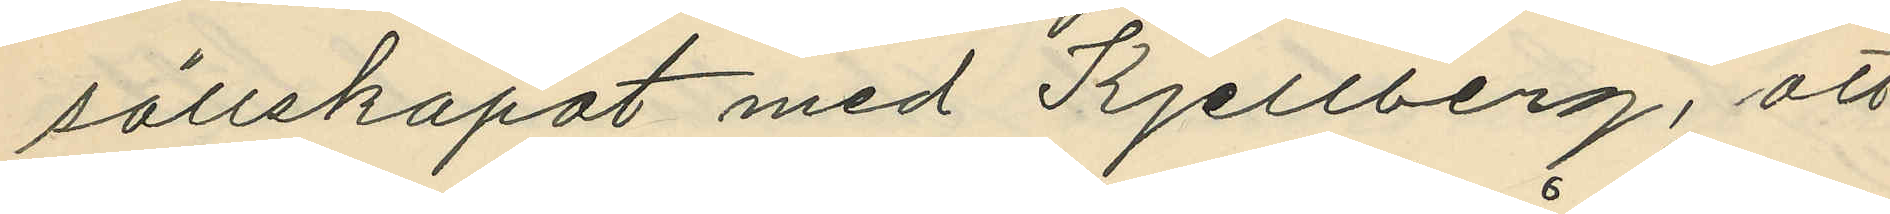sällskapat med Kjellberg, att
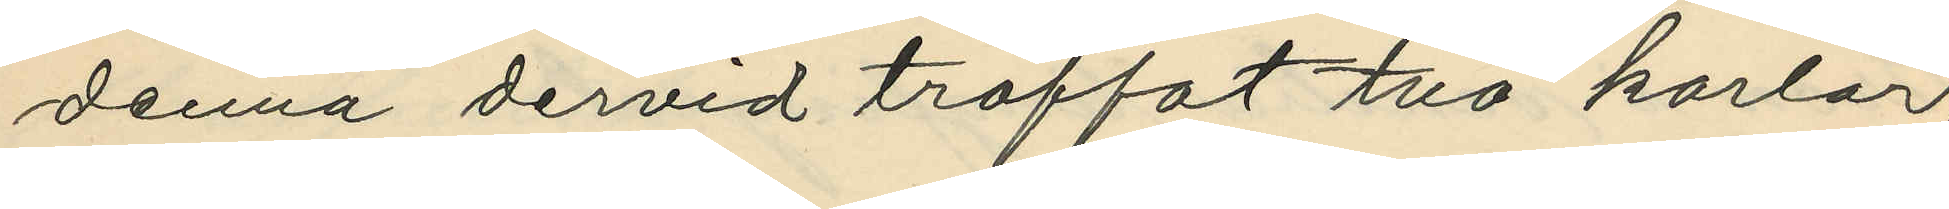denna dervid träffat två karlar,
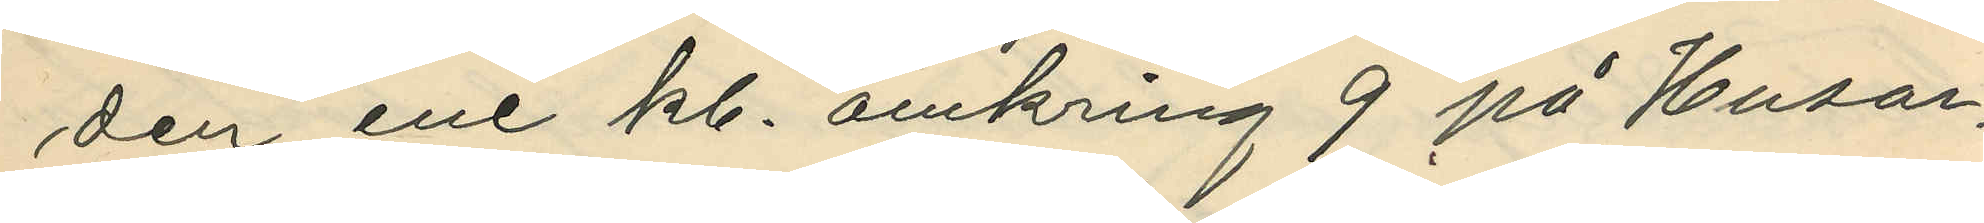den ene kl. omkring 9 på Husar¬
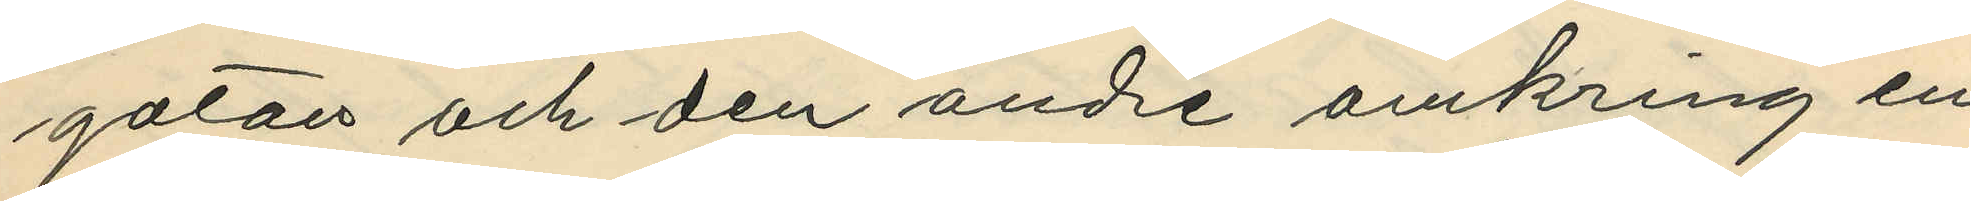gatan och den andre omkring en
